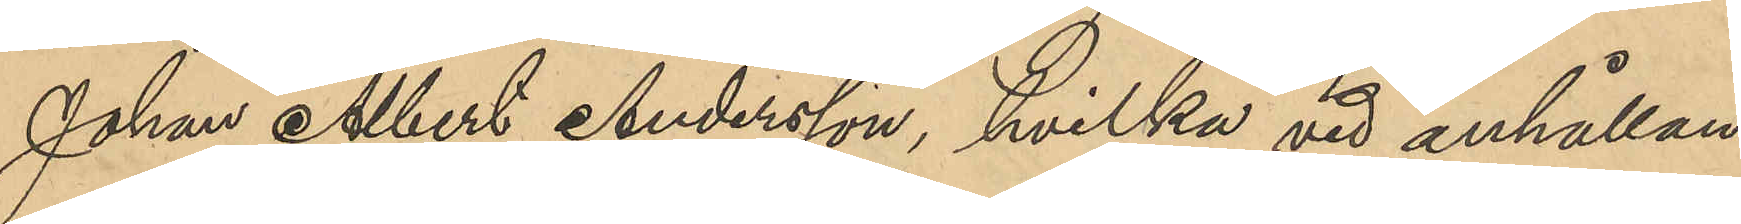Johan Albert Andersson, hvilka vid anhållan¬
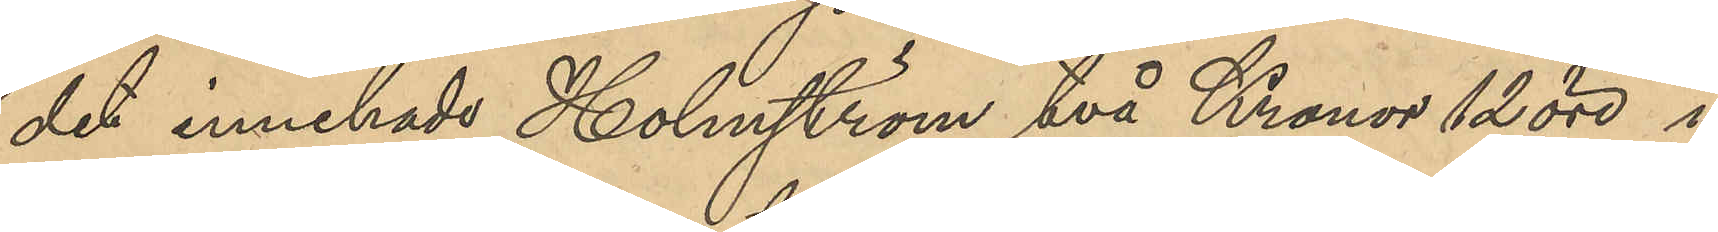det innehade, Holmström två Kronor 12 öre i
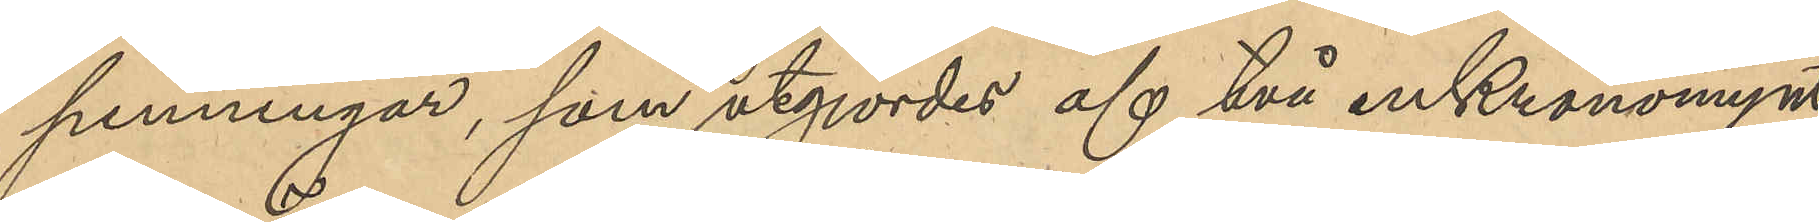penningar, som utgjordes af två enKronomynt,
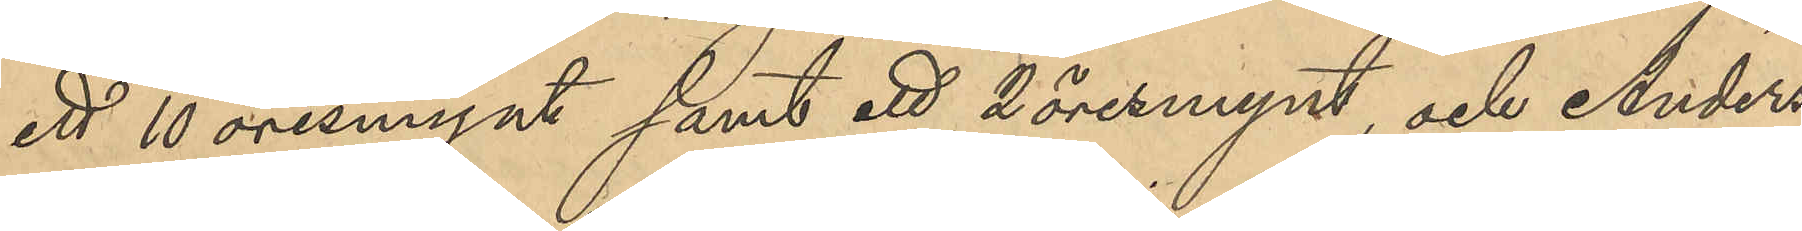ett 10 öresmynt samt ett 2 öresmynt, och Anders¬
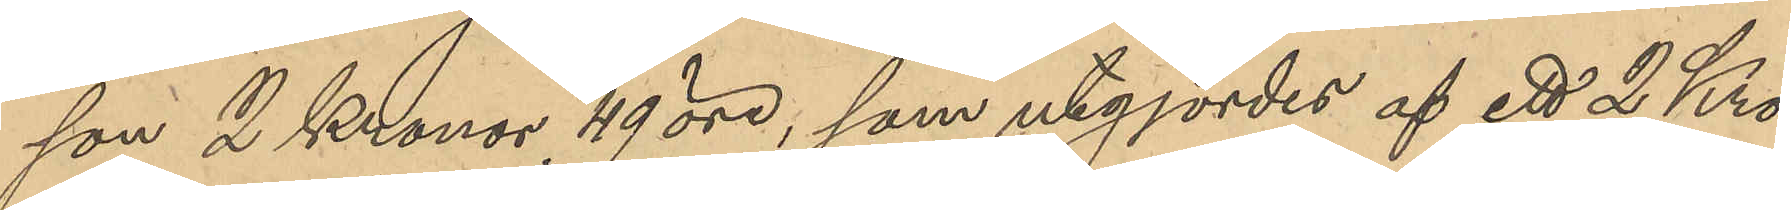son 2 Kronor 49 öre, som utgjordes af ett 2 Kro¬
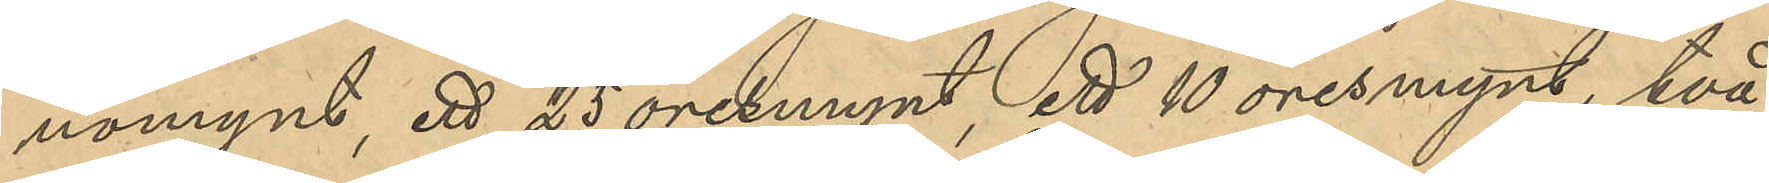nomynt, ett 25 öresmynt, ett 10 öresmynt, två
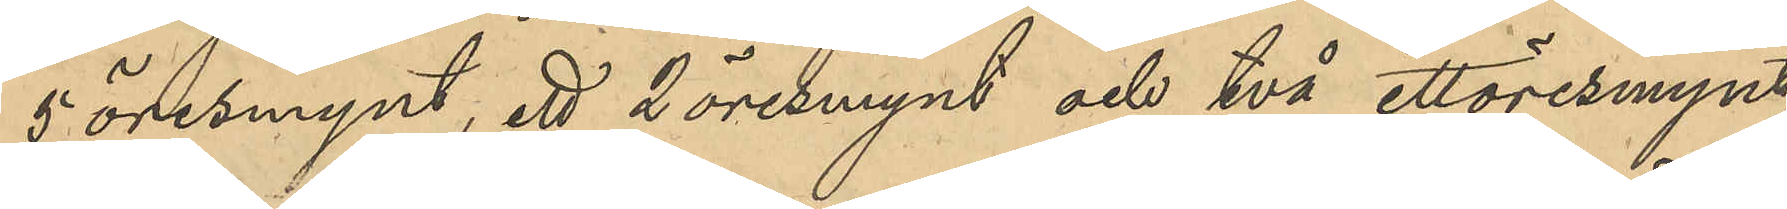5 öresmynt, ett 2 öresmynt och två ettöresmynt,
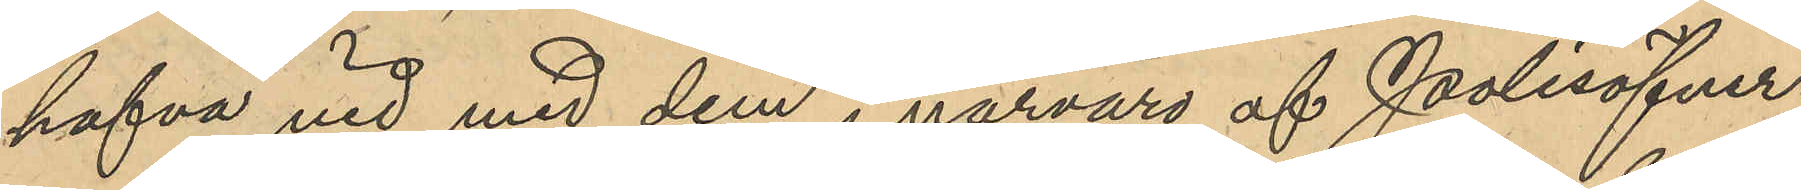hafva vid med dem i närvaro af Polisöfver¬
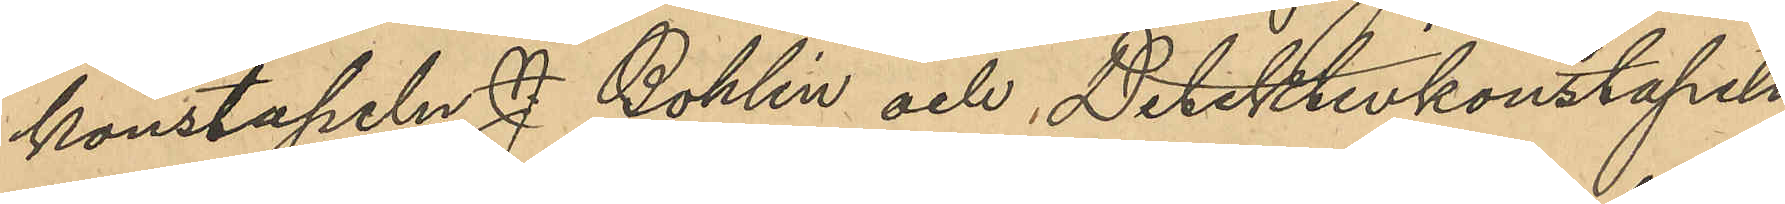konstapeln J. Bohlin och Detektivkonstapeln
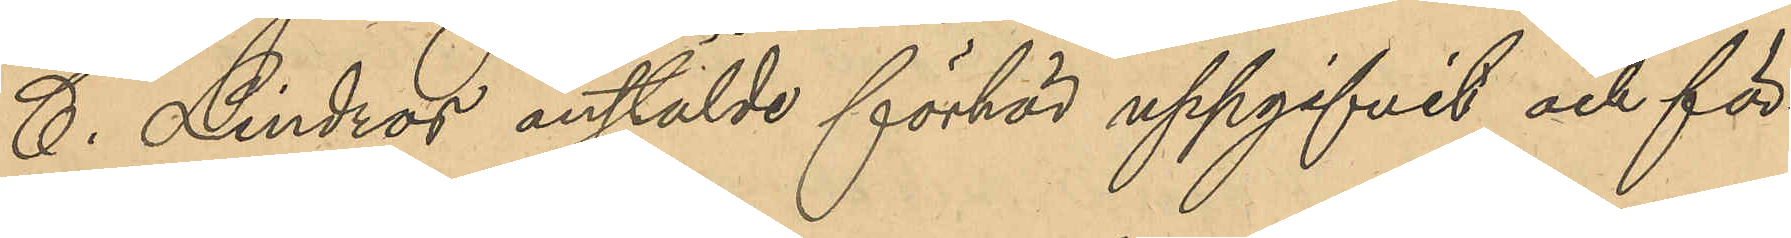C. Lindros anstälde förhör uppgifvit och för¬
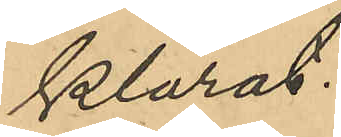klarat:
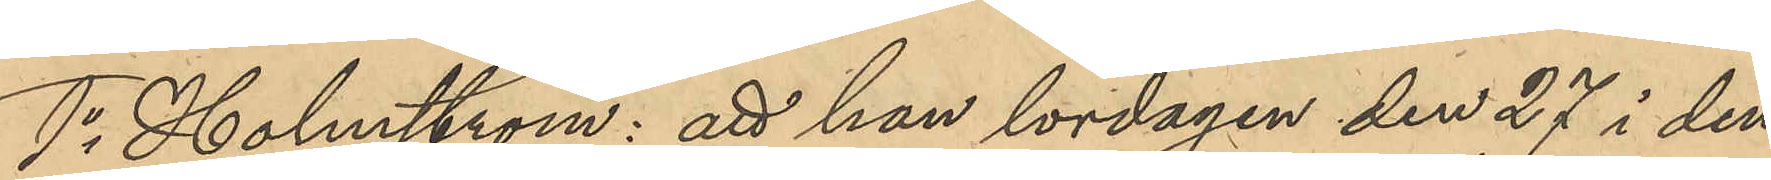1o Holmström: att han lördagen den 27 i den¬
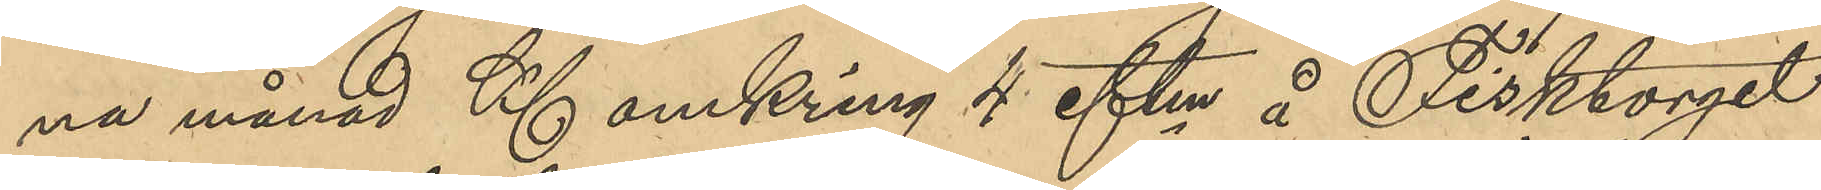na månad Kl omkring 4 eftm å Fisktorget
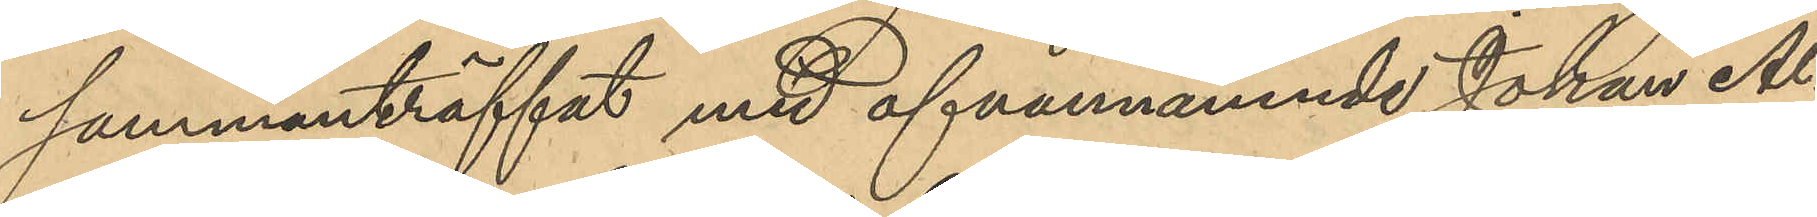sammanträffat med ofvannämnde Johan Al¬
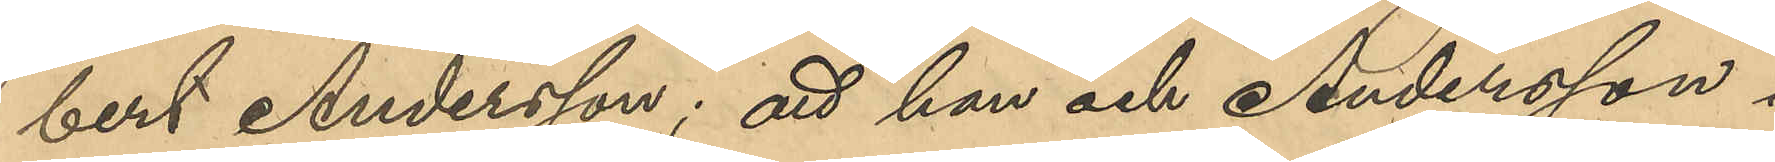bert Andersson; att han och Andersson i
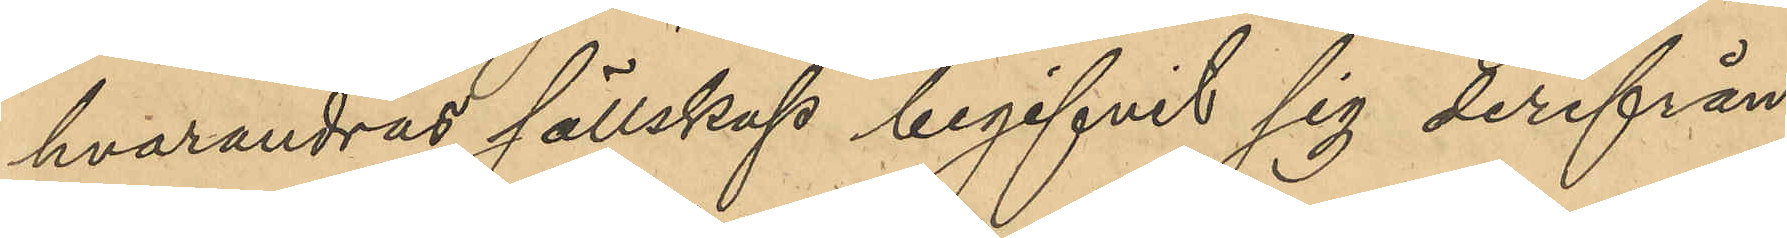hvarandras sällskap begifvit sig derifrån
